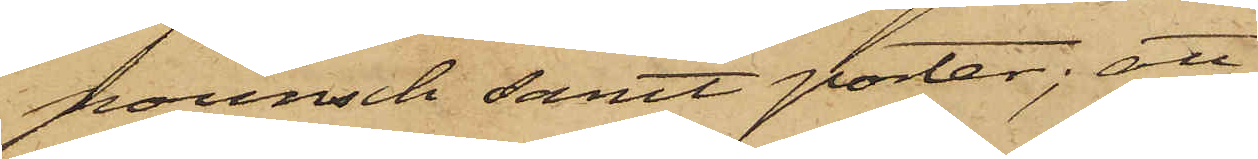pounsch samt porter; att
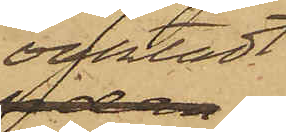oaktat
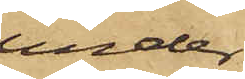under
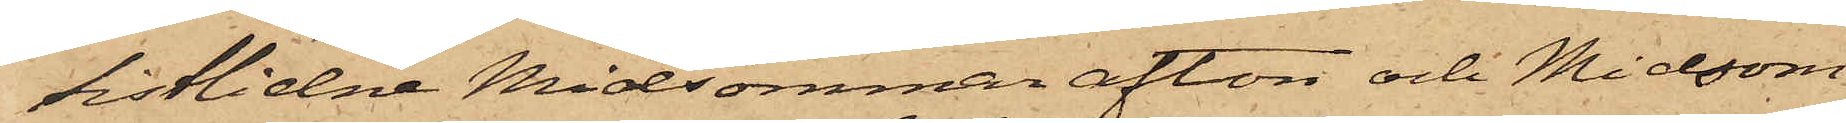sistlidne Midsommarafton och Midsom¬
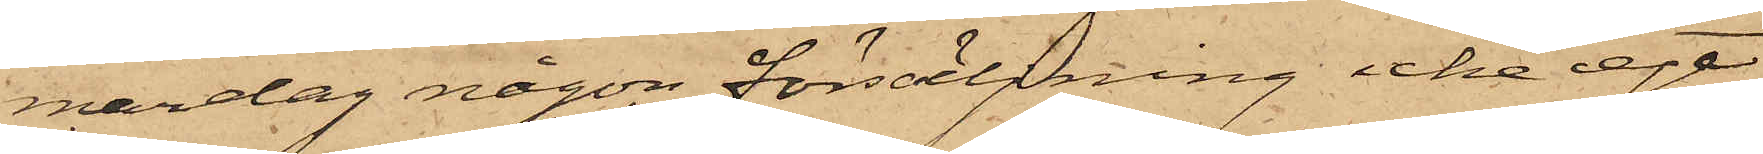mardag någon försäljning icke egt
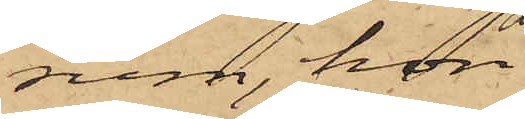rum, hon
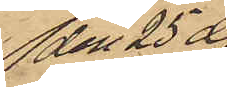den 25 ds
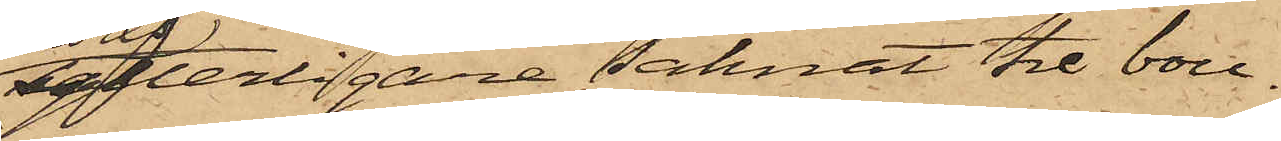ytterligare saknat tre bou¬
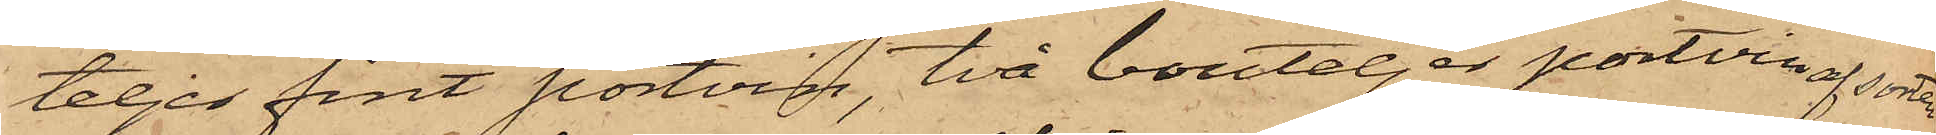teljer fint portvin, två bouteljer portvin af sorten
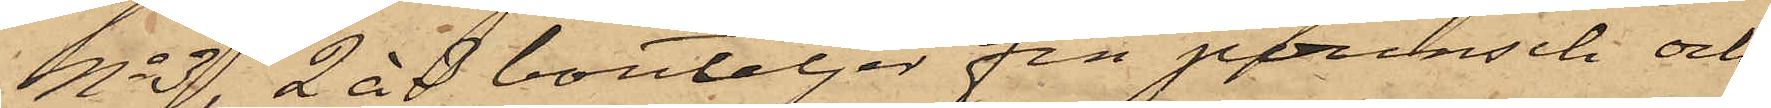No 3, 2 à 3 bouteljer fin pounsch och
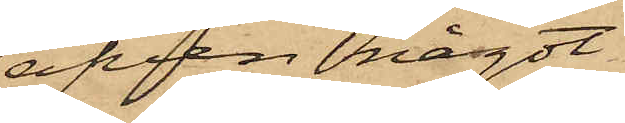äfven något
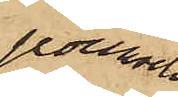pounsch
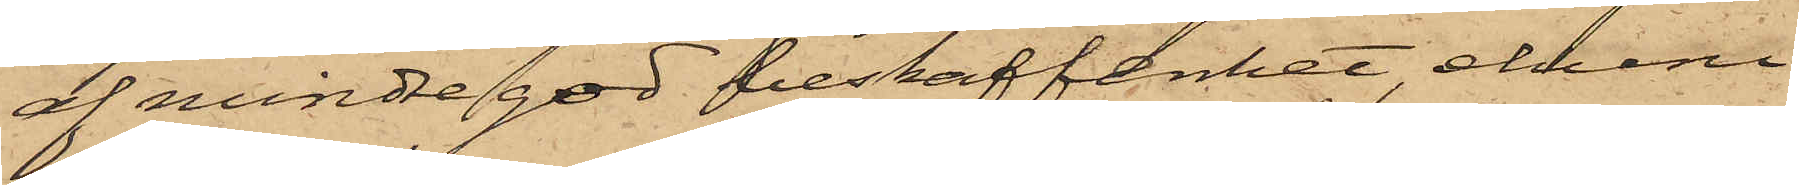af mindre god beskaffenhet, ehuru
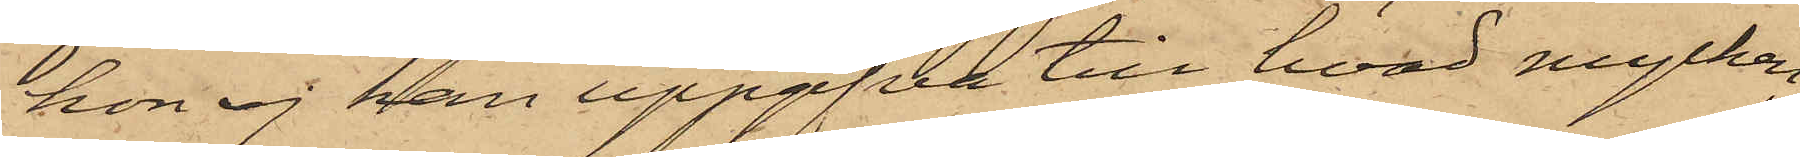hon ej kan uppgifva till hvad mycken¬
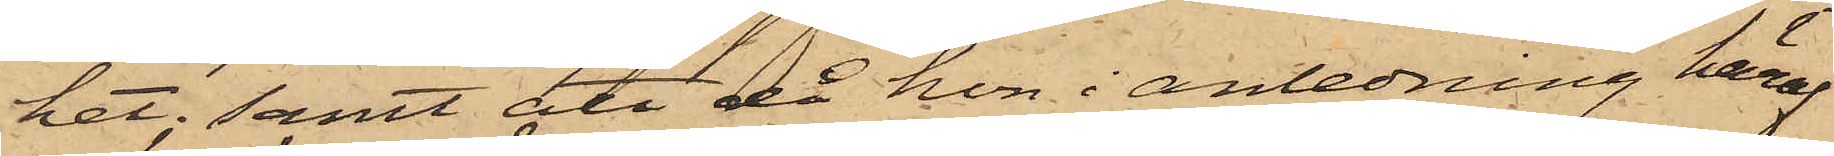het; samt att då hon i anledning häraf
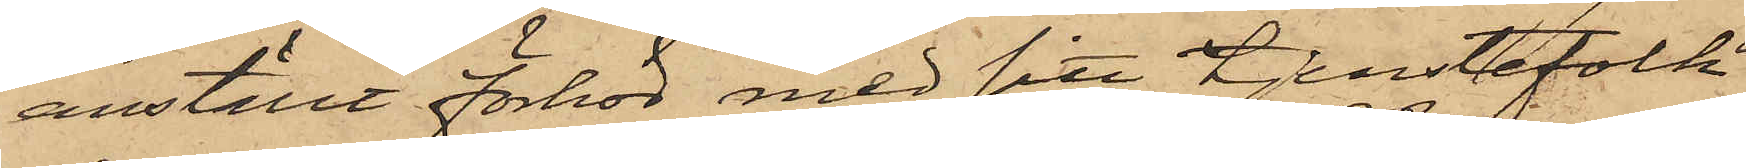anställt förhör med sitt tjenstefolk
